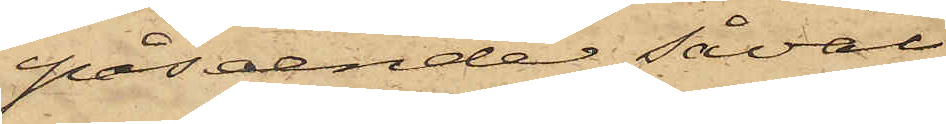påseende såväl
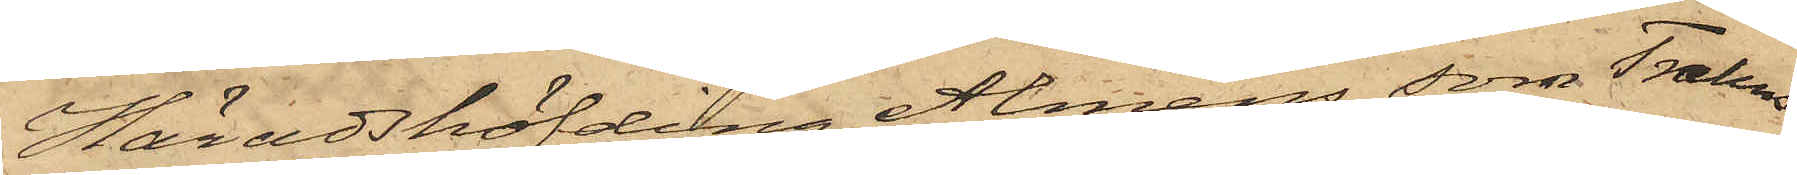Häradshöfding Alméns som Trahns
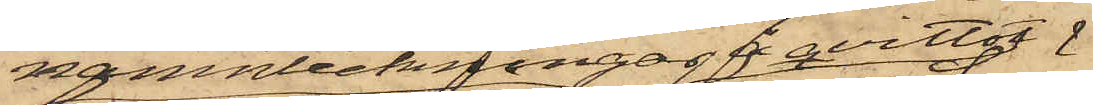namnteckningar å qvittot
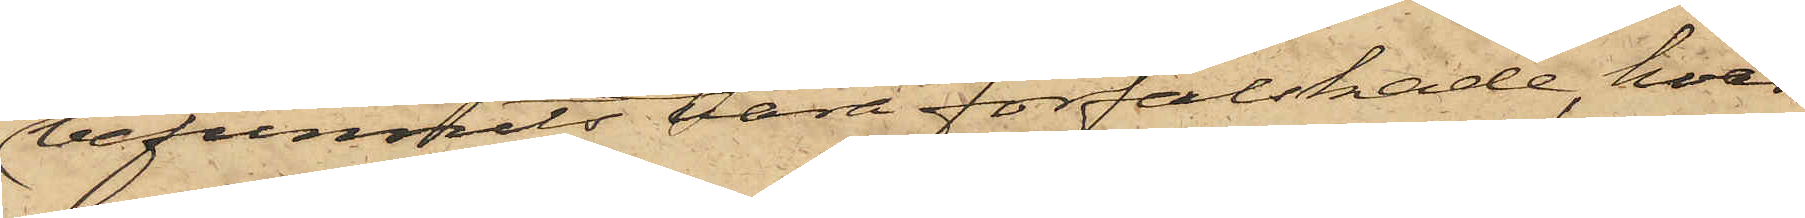befunnits vara förfalskade, hvar¬
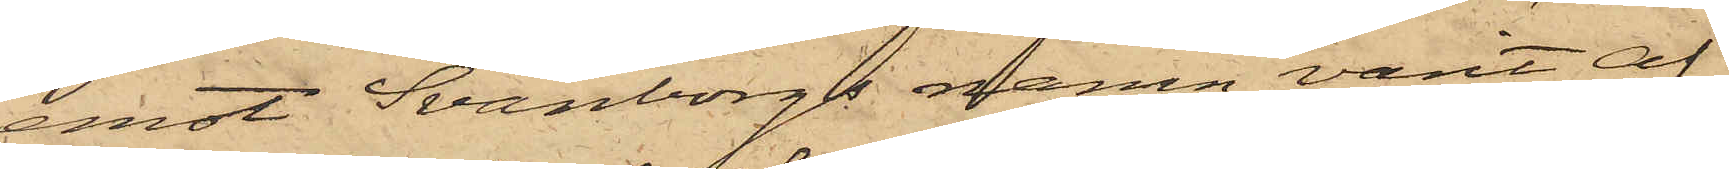emot Svänborgs namn varit af
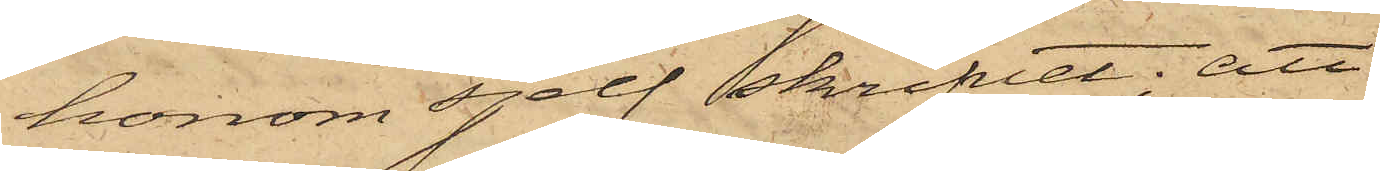honom sjelf skrifvet; att
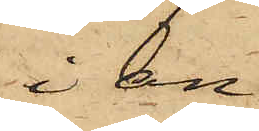i an¬
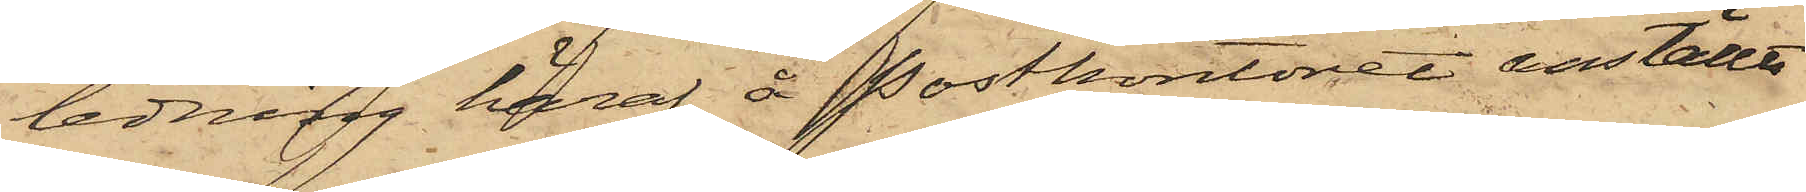ledning häraf å Postkontoret anställts
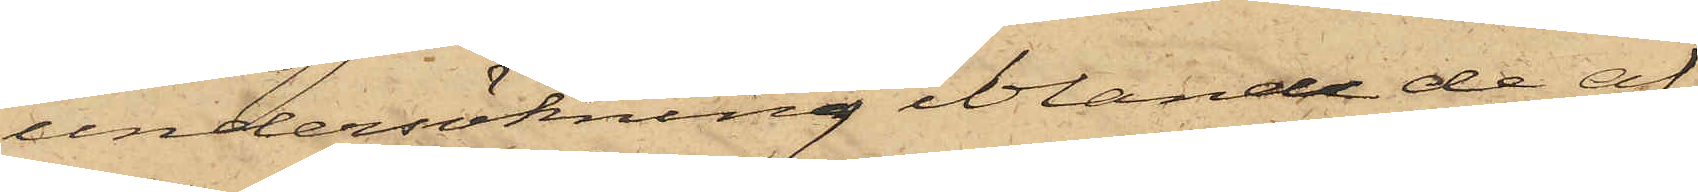undersökning ibland de af
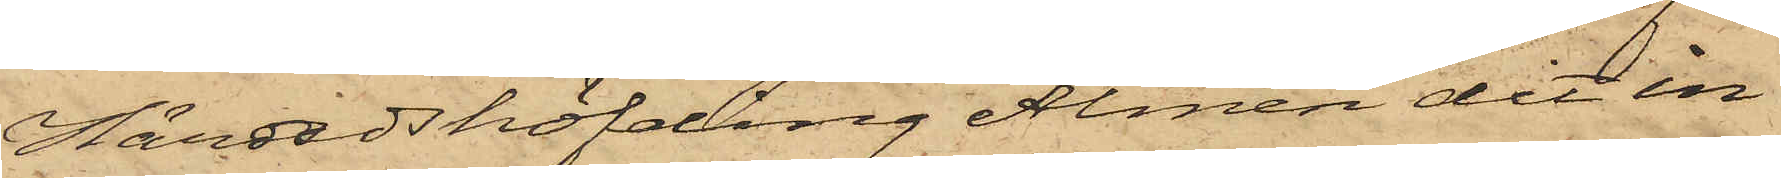Häradshöfding Almén dit in¬
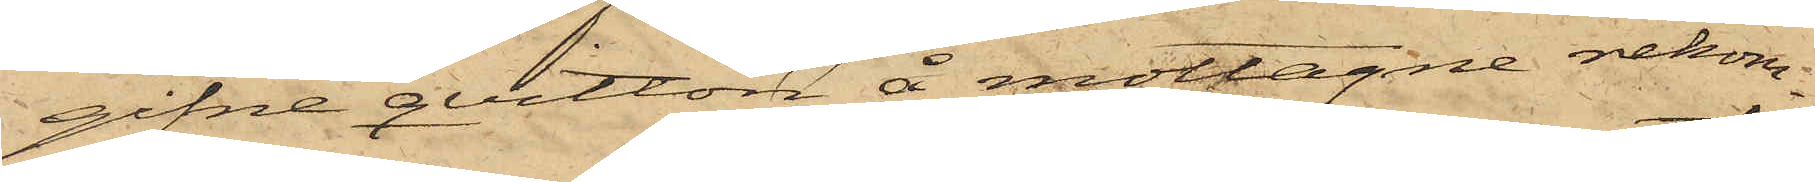gifne qvitton å mottagne rekom¬
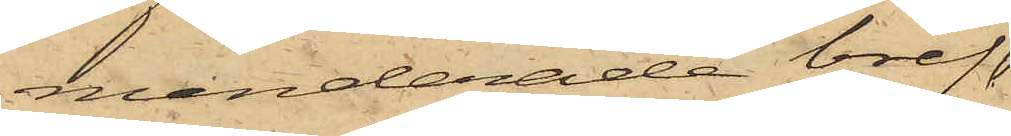menderade bref,
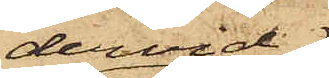dervid
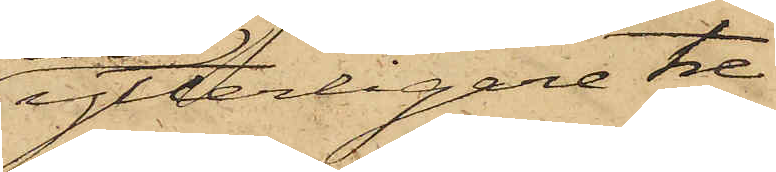ytterligare tre
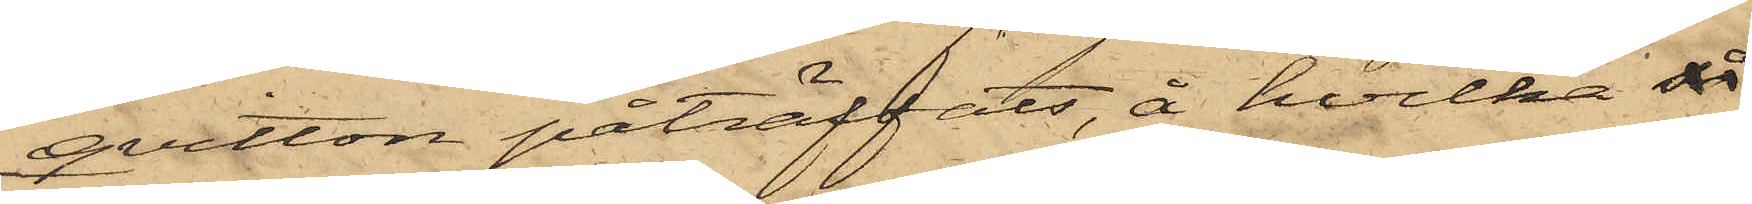qvitton påträffats, å hvilka så
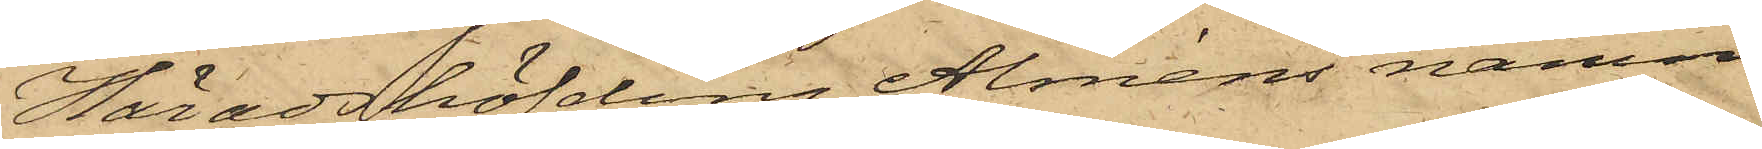Häradshöfding Alméns namn
